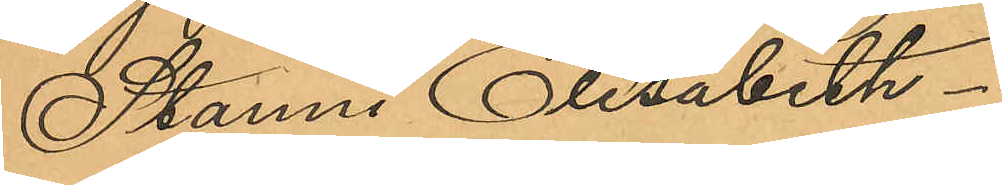Stanni Elisabeth.
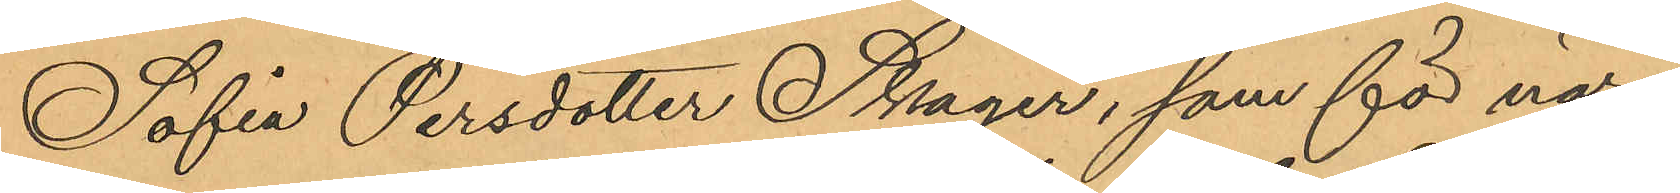Sofia Persdotter Skager, som för när¬
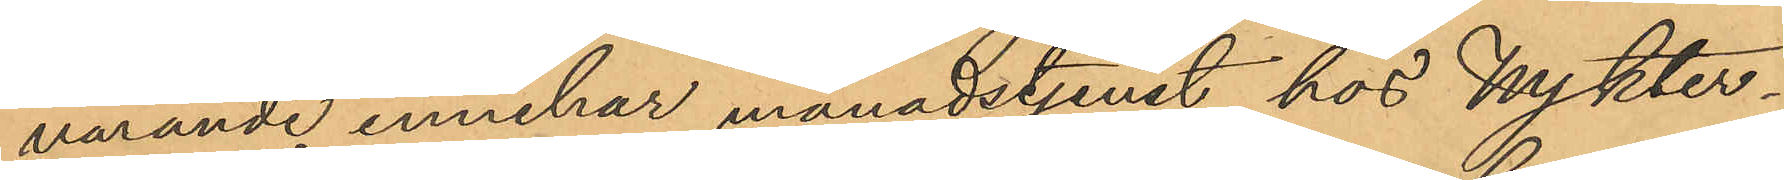varande innehar månadstjenst hos Nykter¬
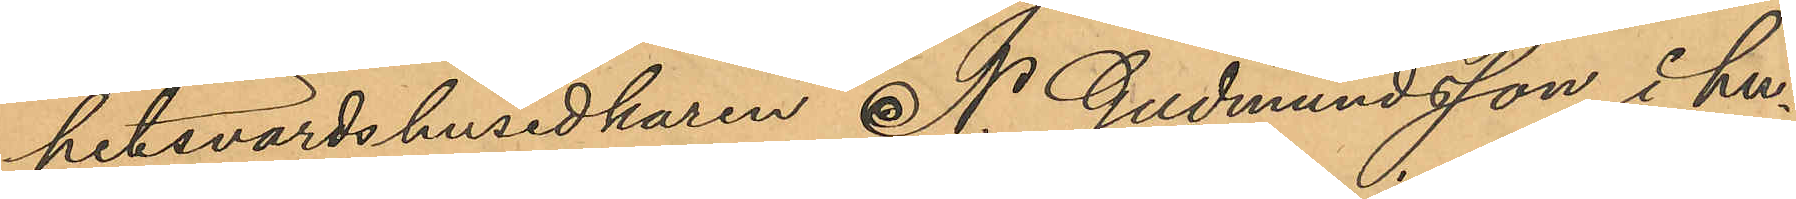hetsvärdshusidkaren N. Gudmundsson i hu¬
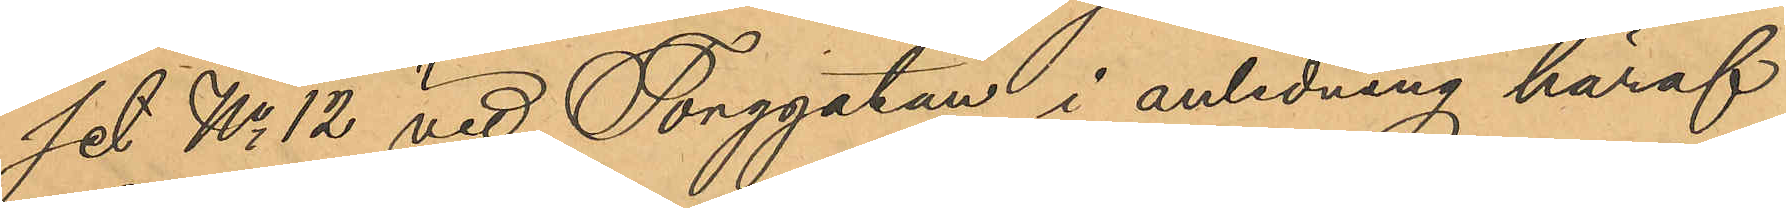set No 12 vid Torggatan i anledning häraf
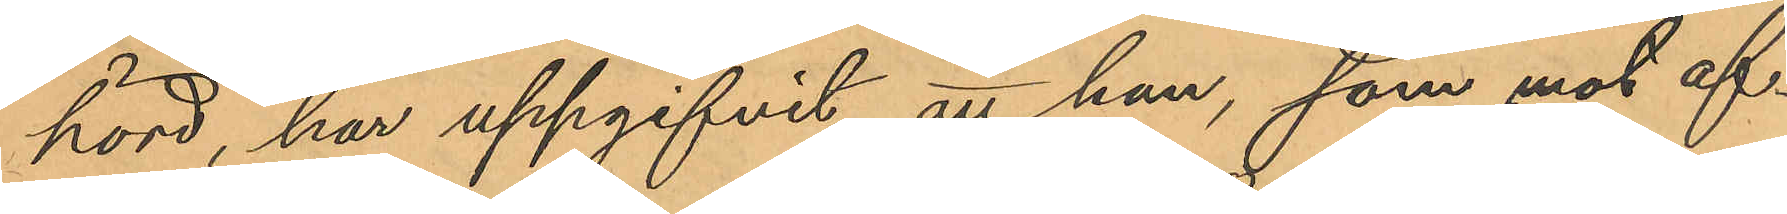hörd, har uppgifvit att hon, som mot af¬
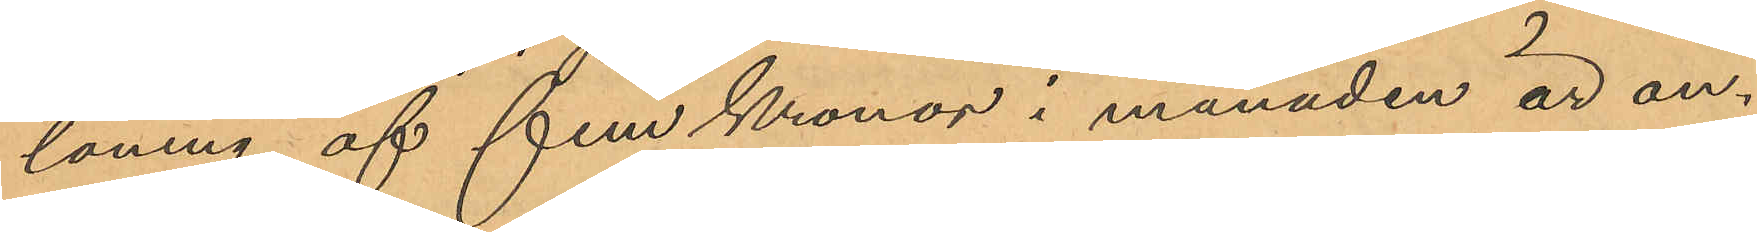löning af fem Kronor i månaden är an¬
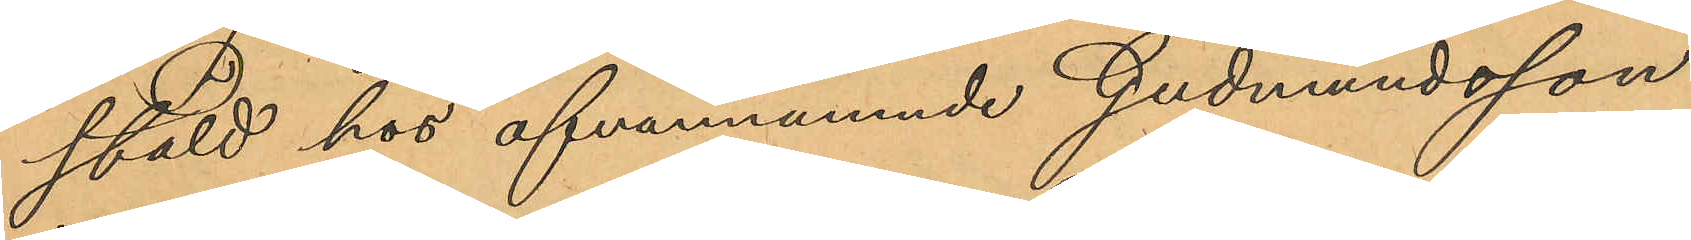stäld hos ofvannämnde Gudmundsson
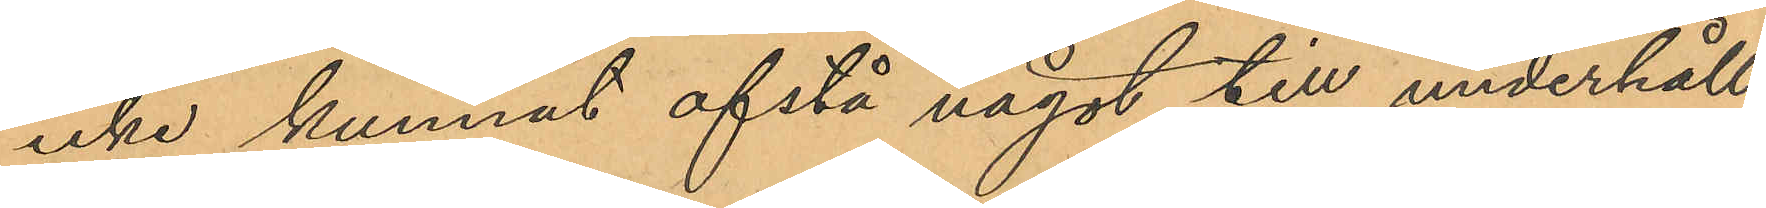icke kunnat afstå något till underhåll
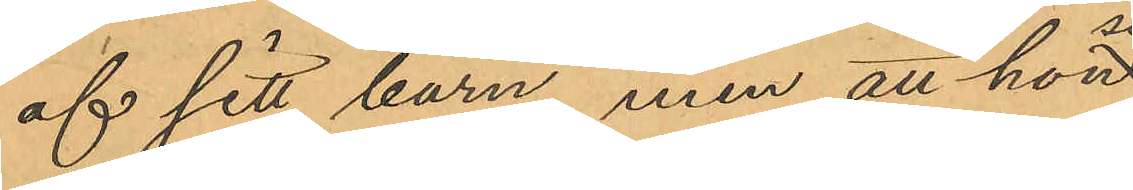af sitt barn, men att hon
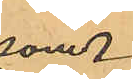som
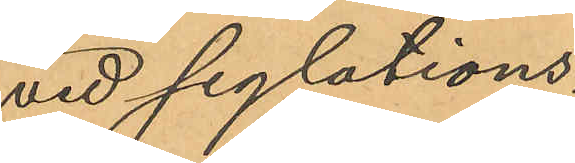vid seglations¬
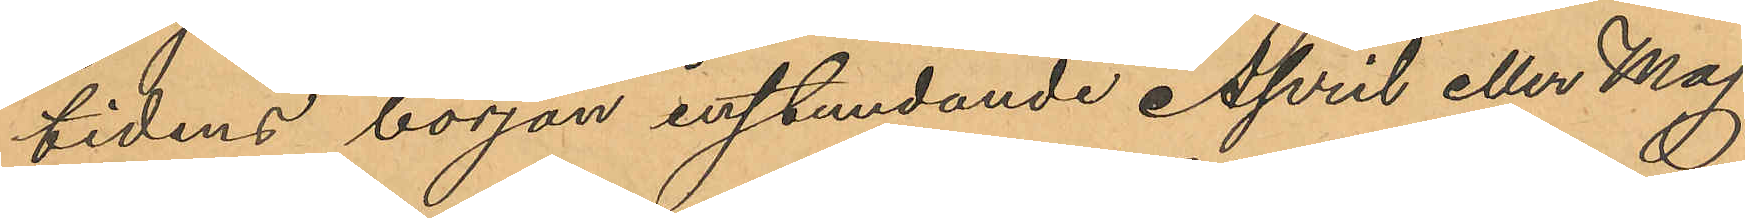tidens början instundande April eller Maj
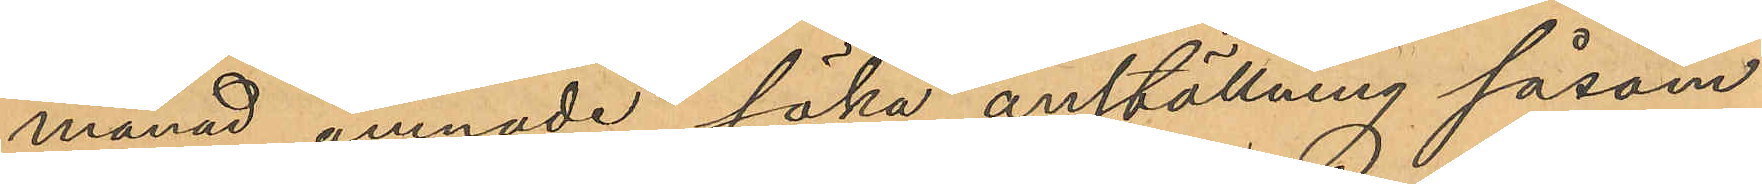månad ämnade söka anställning såsom
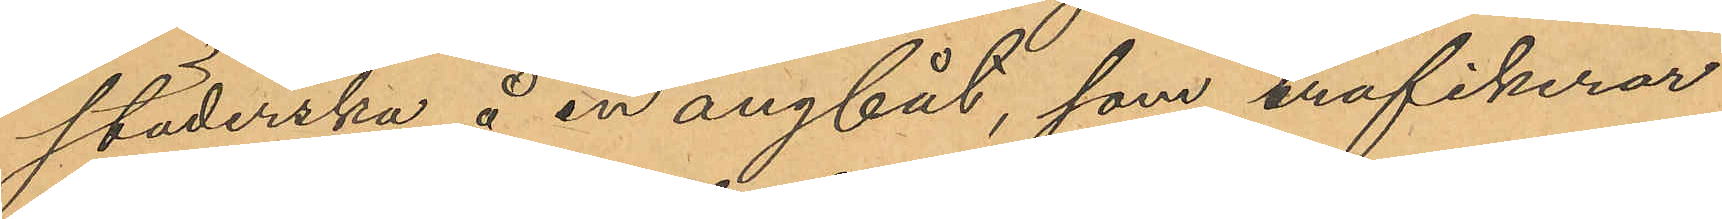städerska å en ångbåt, som trafikerar
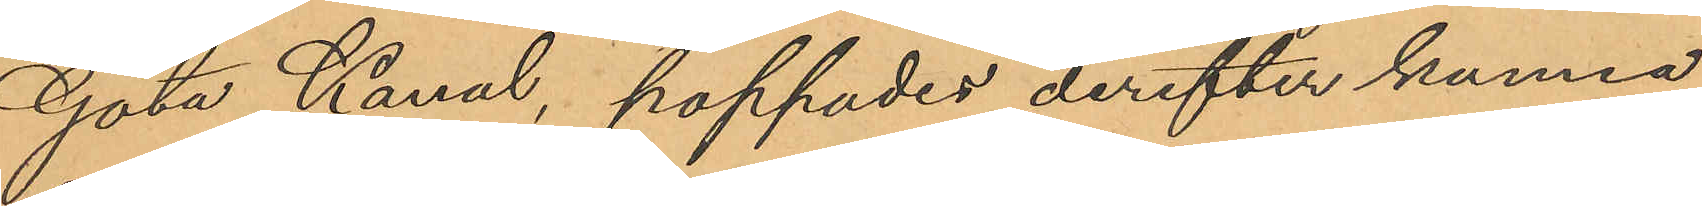Göta Kanal, hoppades derefter kunna
